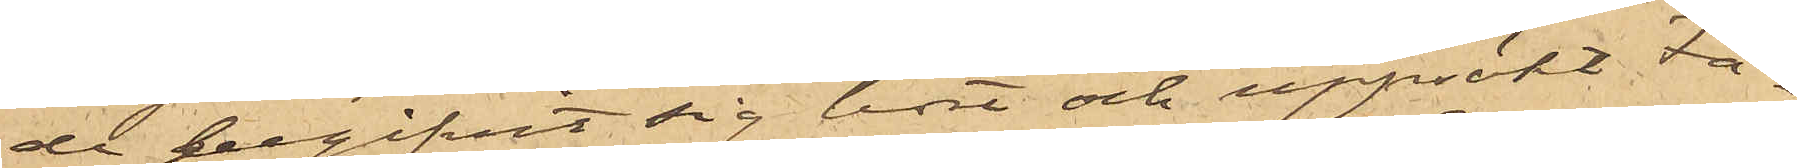de begifvit sig bort och uppsökt Fa¬
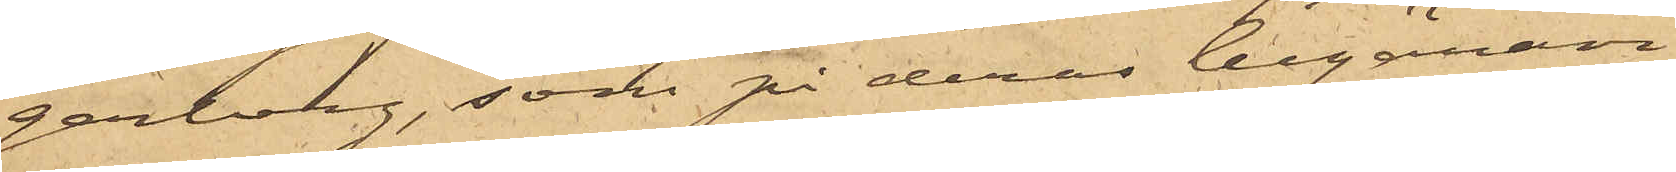gerberg, som på deras begäran
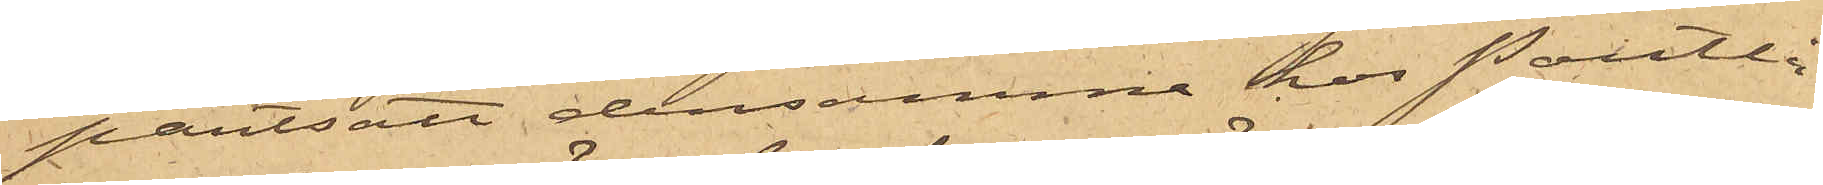pantsatt densamma hos Pantlå¬
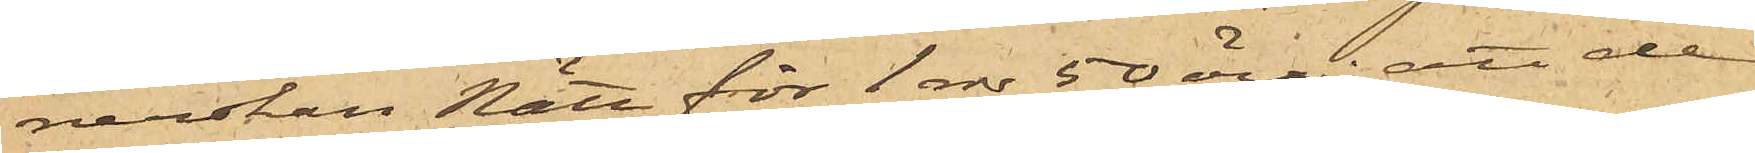nerskan Nätt för 1 rdr 50 öre; att de
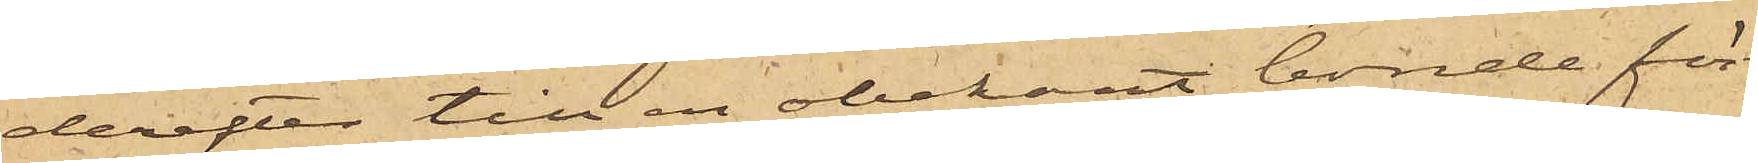derefter till en obekant bonde för¬
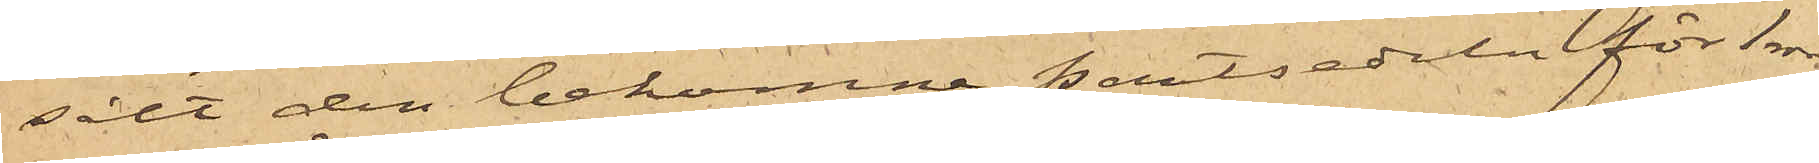sålt den bekomne pantsedeln för 1 rdr;
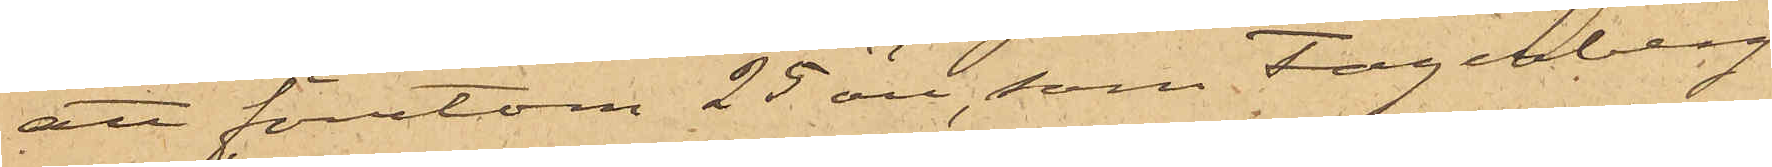att förutom 25 öre, som Fagerberg
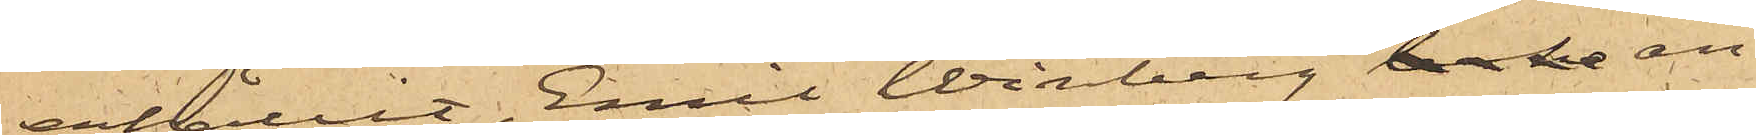erhållit, Emil Winberg beko an¬
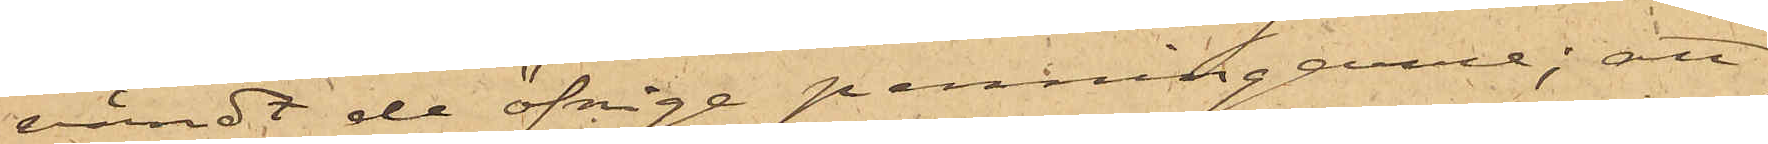vändt de öfrige penningarne; att
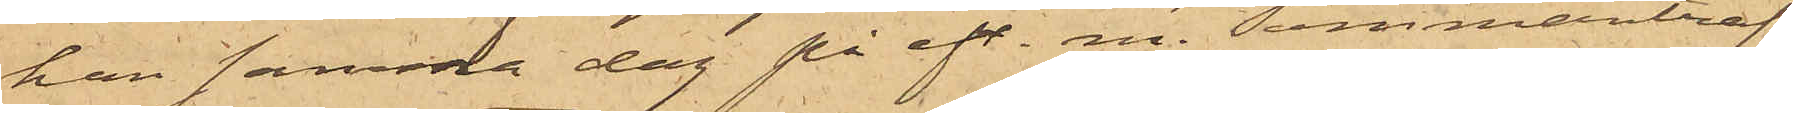han samma dag på eft. m. sammanträf¬
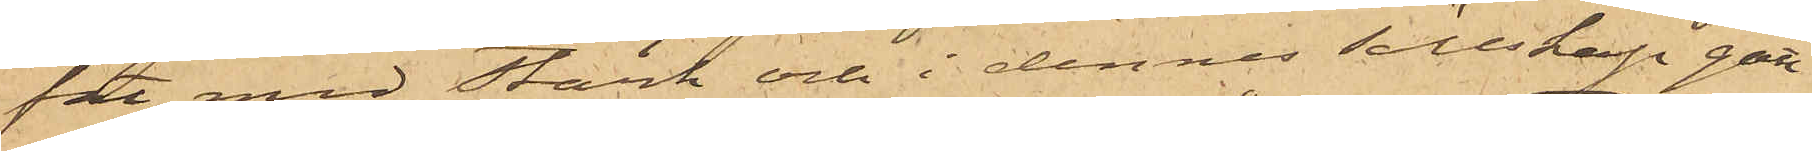fat med Stark och i dennes sällskap gått
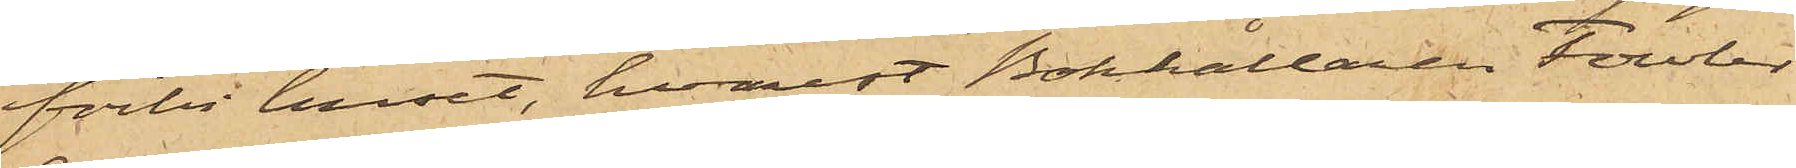förbi huset, hvarest Bokhållaren Fowler
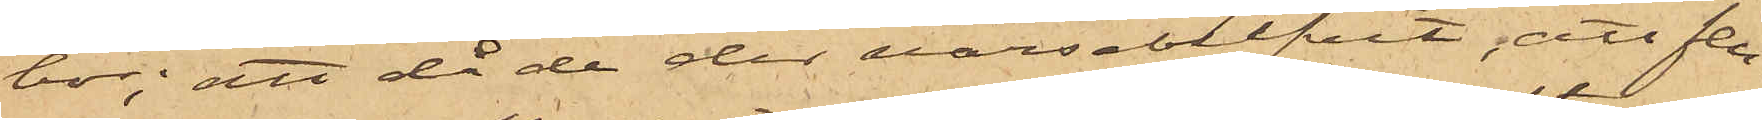bor; att då de der varseblifvit, att fen¬
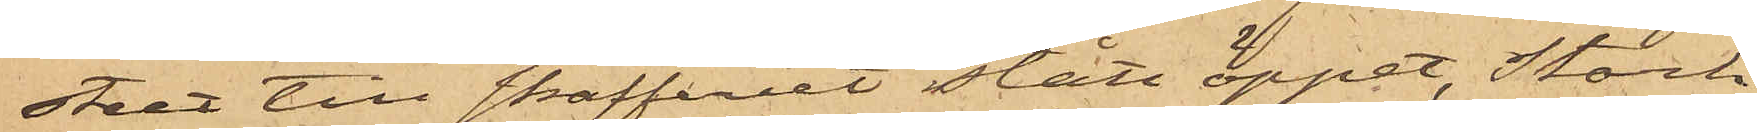stet till skafferiet stått öppet, Stark
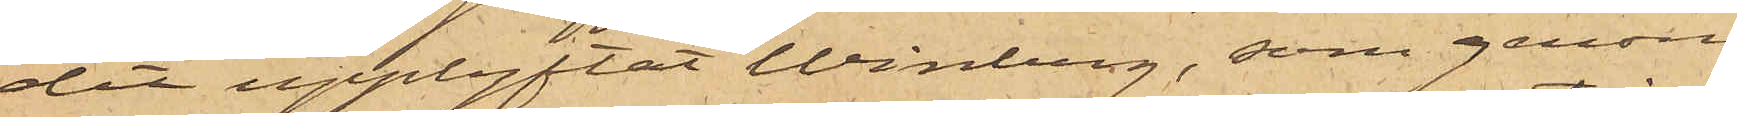dit upplyftat Winberg, som genom
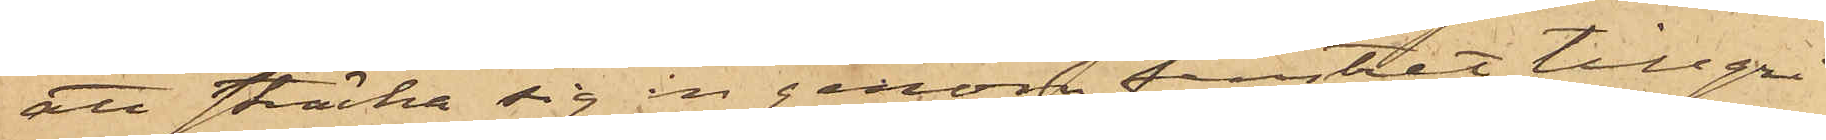att sträcka sig in genom fenstet tillgri¬
